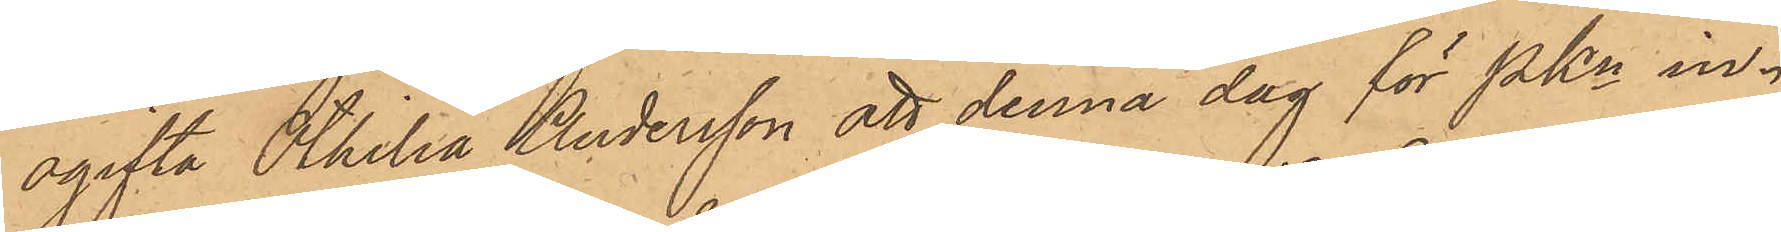ogifta Othilia Andersson att denna dag för Pkn in¬
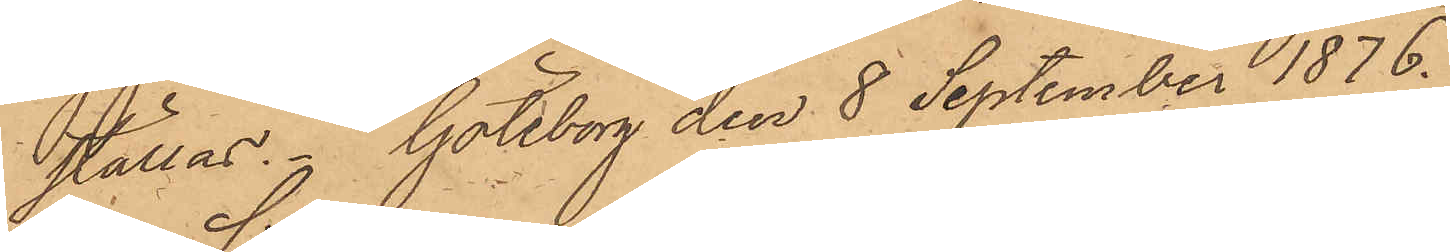ställas. Göteborg den 8 September 1876.
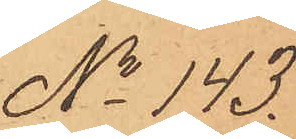No 143.
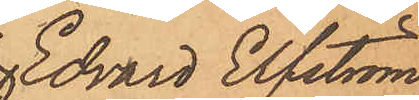Edvard Elfström
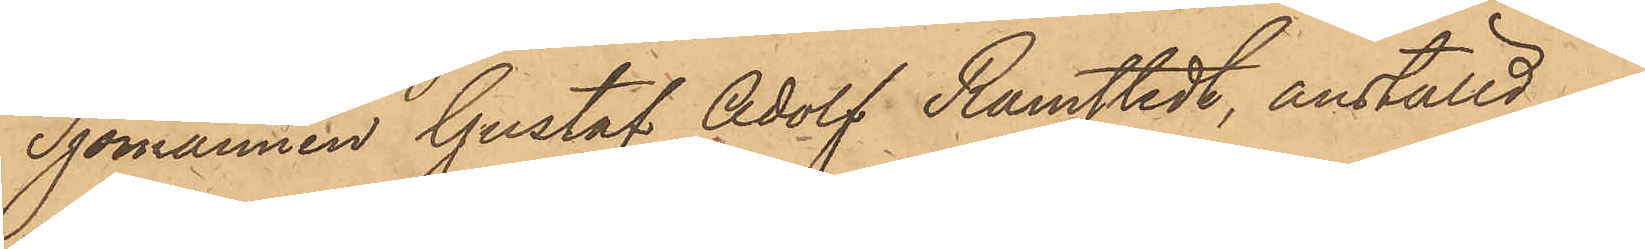Sjömannen Gustaf Adolf Ramstedt, anställd å
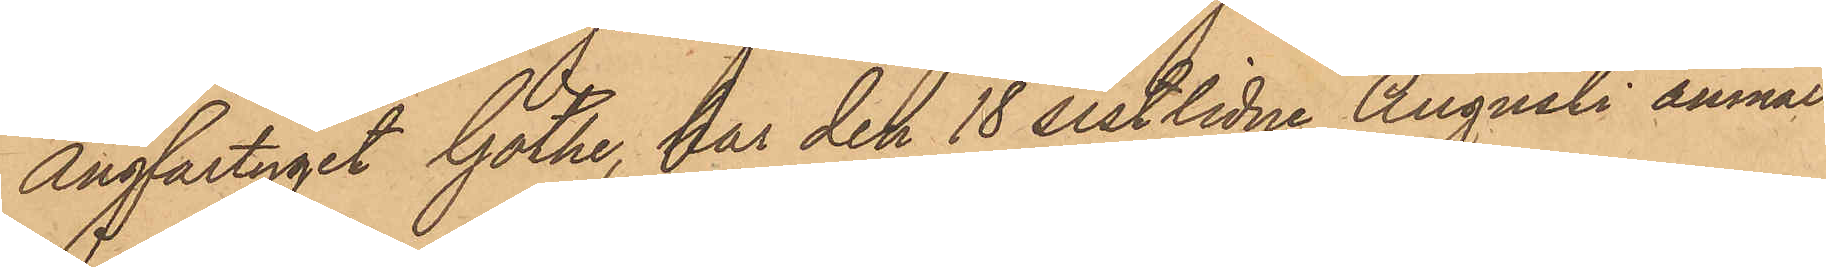Ångfartyget Göthe, har den 18 sistlidne Augusti anmält,
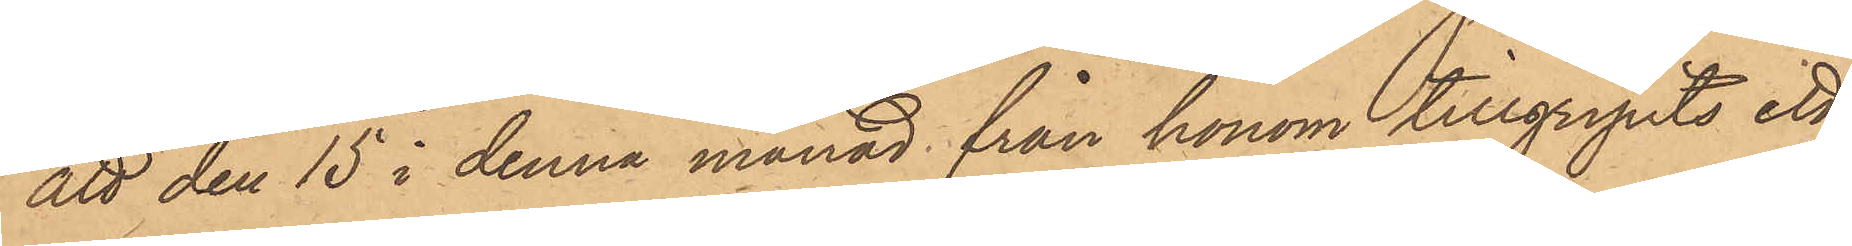att den 15 i denna månad från honom tillgripits ett
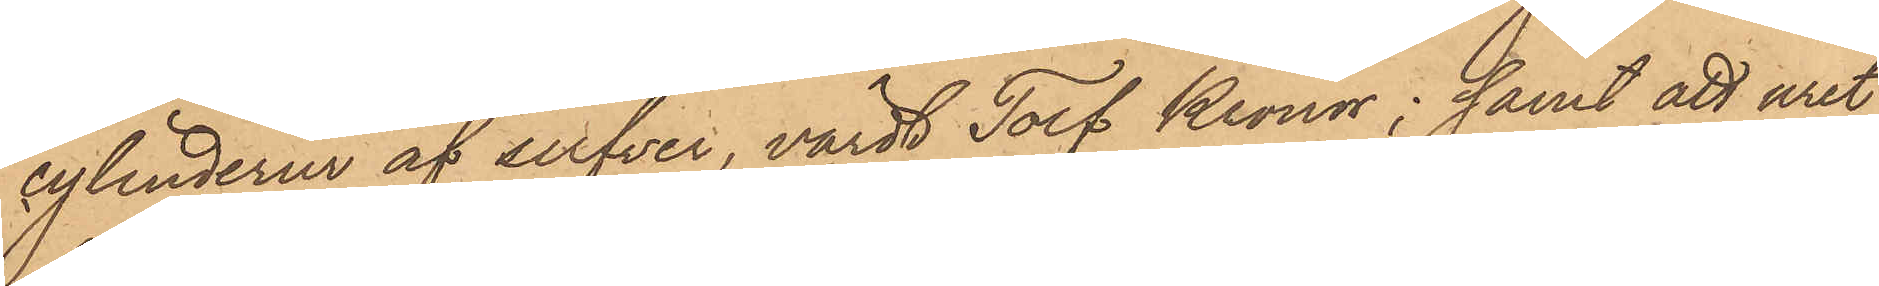cylinderur af silfver, värdt Tolf Kronor; samt att uret
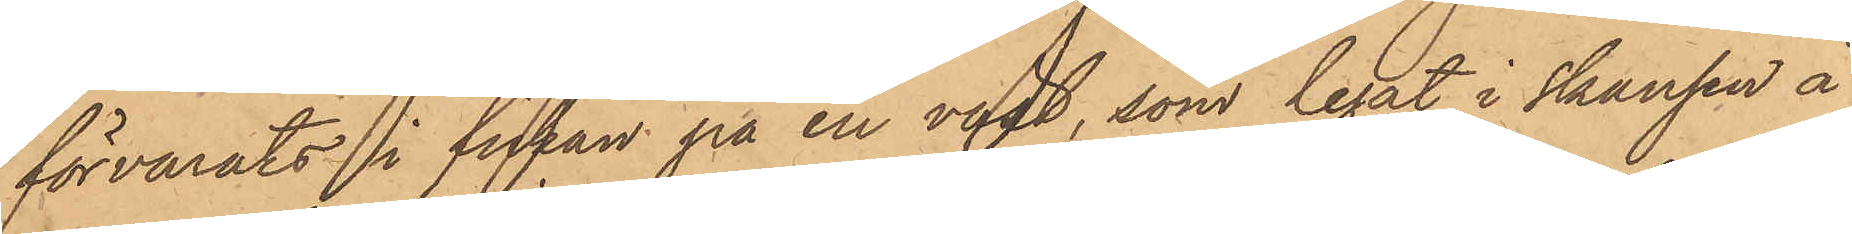förvarats i fickan på en väst, som legat i skansen å
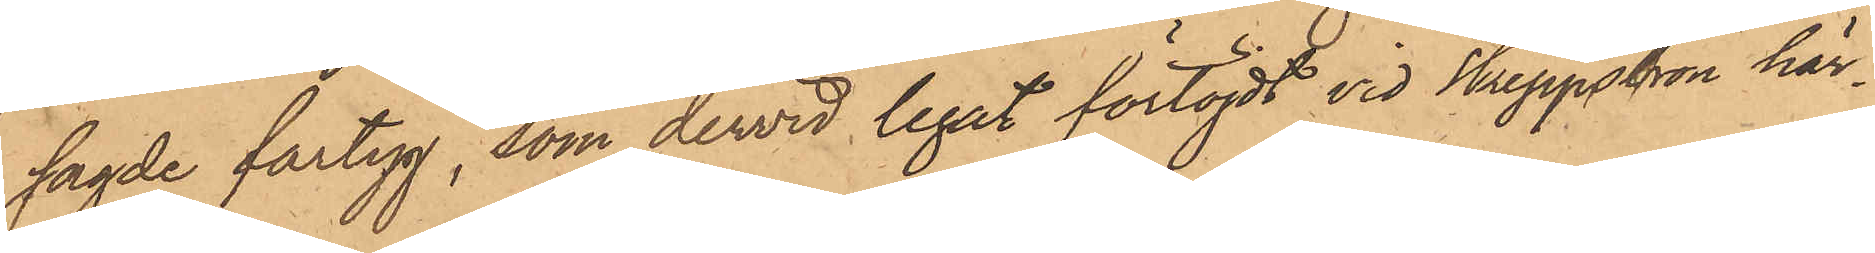sagde fartyg, som dervid legat förtöjdt vid Skeppsbron här¬
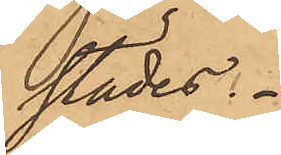städes.
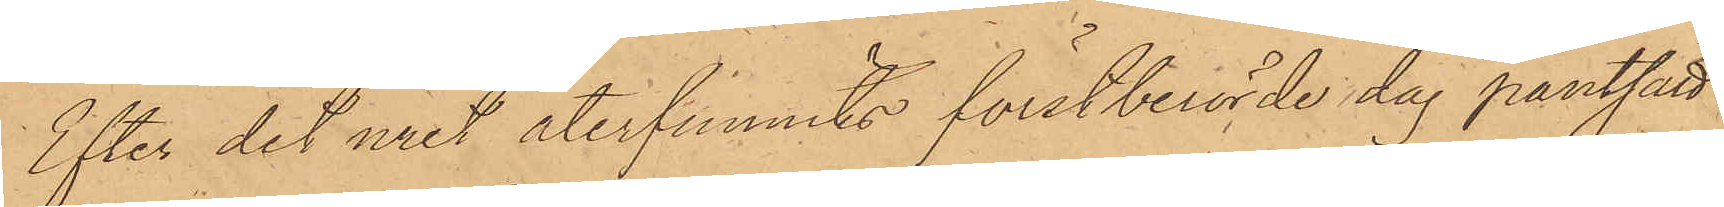Efter det uret återfunnits förstberörde dag pantsatt
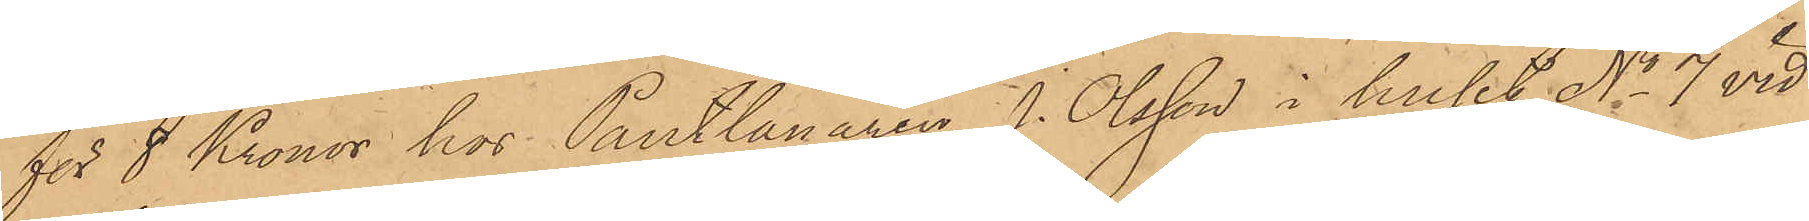för 8 Kronor hos Pantlånaren J. Olsson i huset No 7 vid
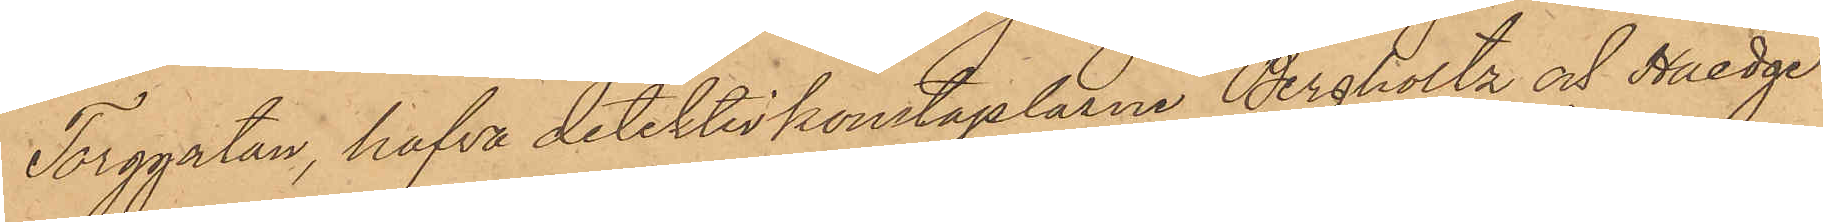Torggatan, hafva detektivkonstaplarne Bergholtz och Haedge
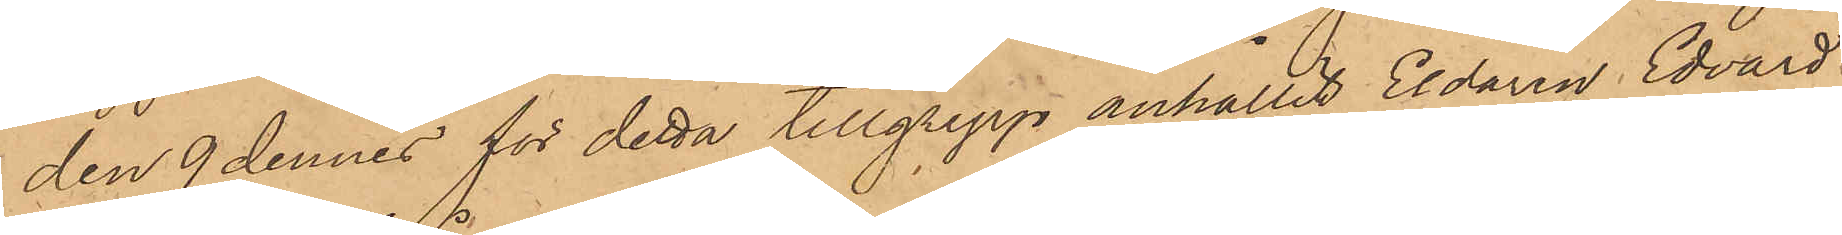den 9 dennes för detta tillgrepp anhållit Eldaren Edvard
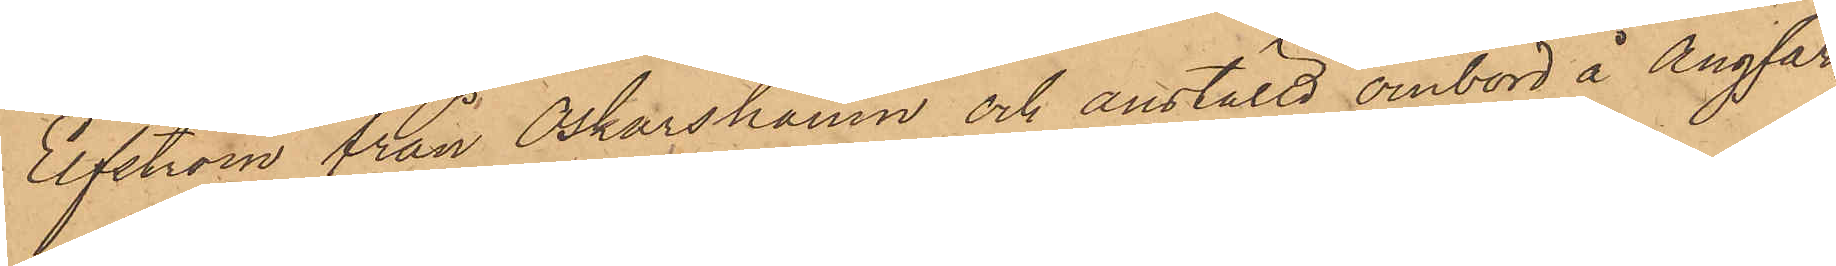Elfström från Oskarshamn och anställd ombord å Ångfar¬
